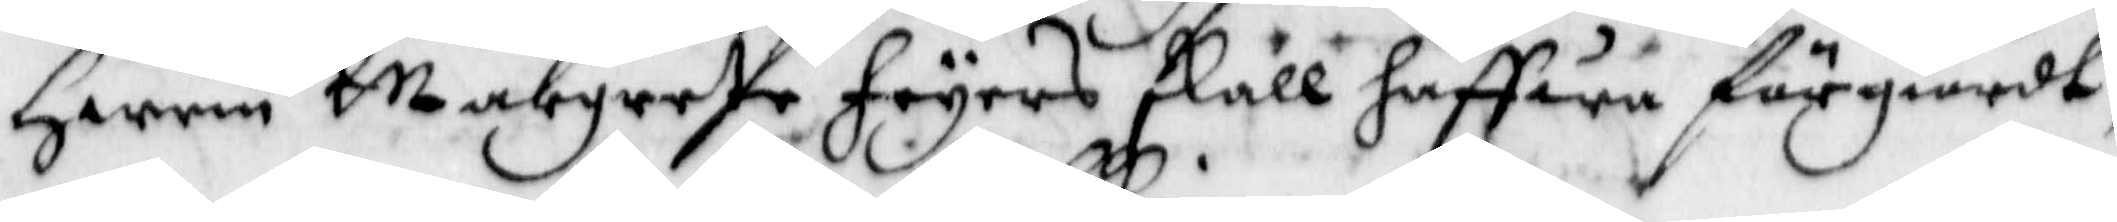Hwem Margreta Feyers skall haffwa förgiordt,
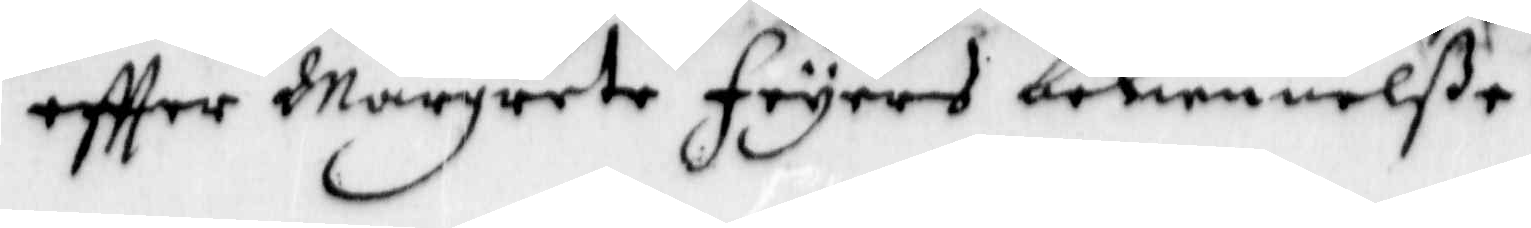eftter Margreta Feyers bekiennelße.
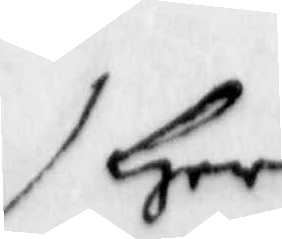Her
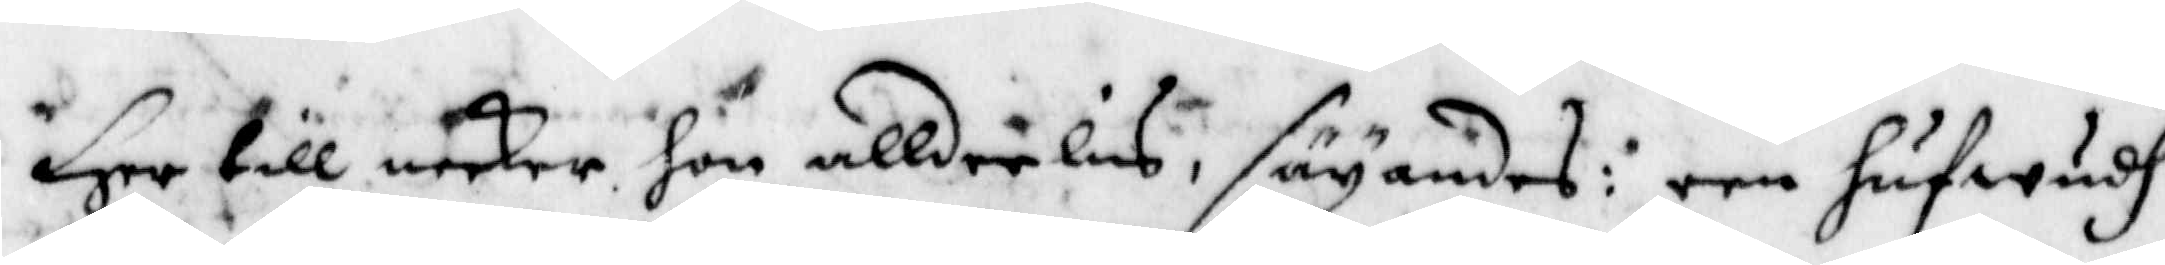Her till neker hon alldeeles, säyandes: een hufwudh
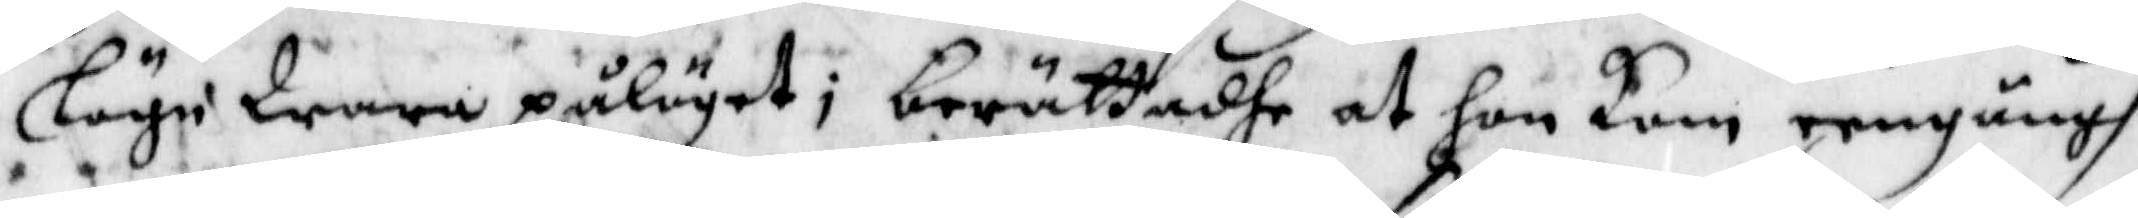lögn Wore påläget; berättadhe at hon kom eengångh
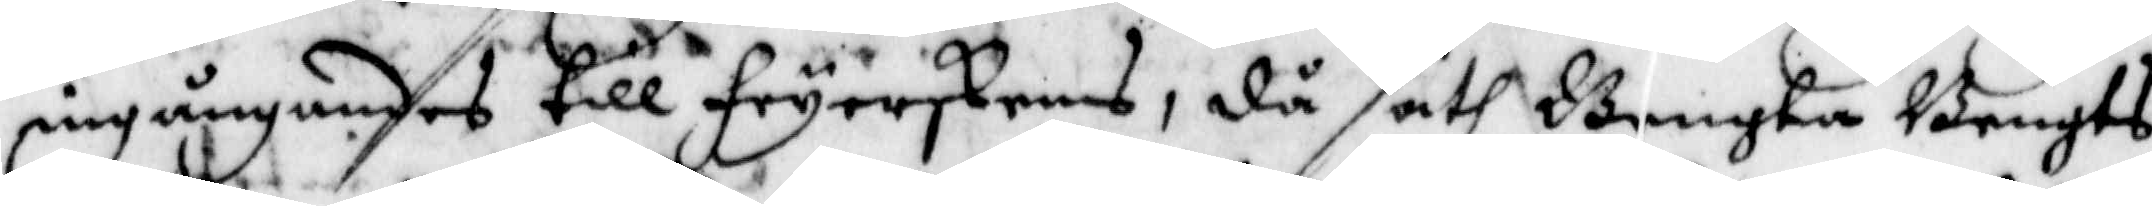ingångandes till Feyerskens, då sath Bengta Bengts¬
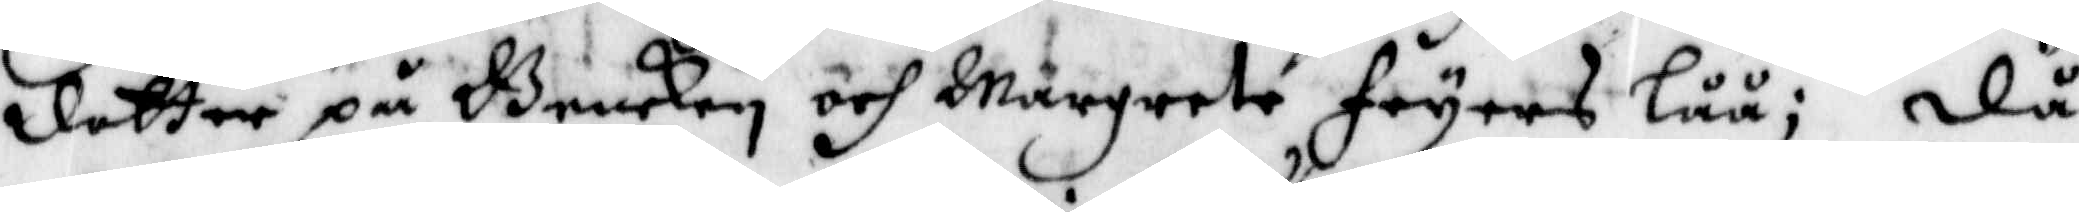dotter på Bencken och Margreta Feyers Låå; Då
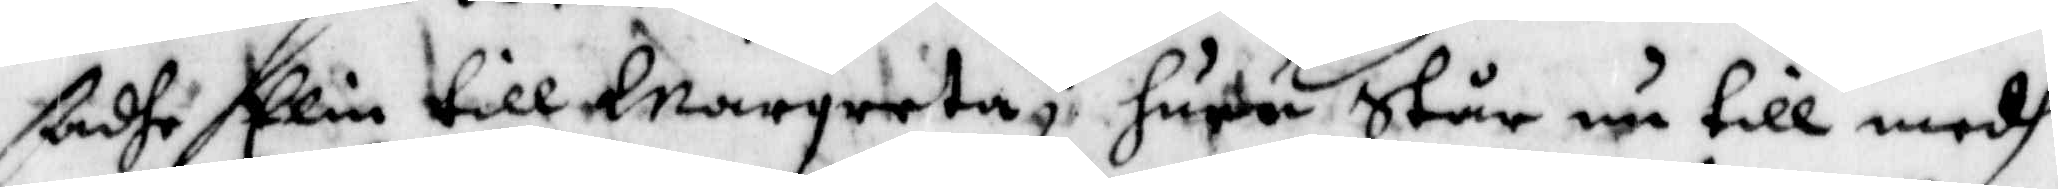ßadhe Elin til Margreta; huru står nu till medh
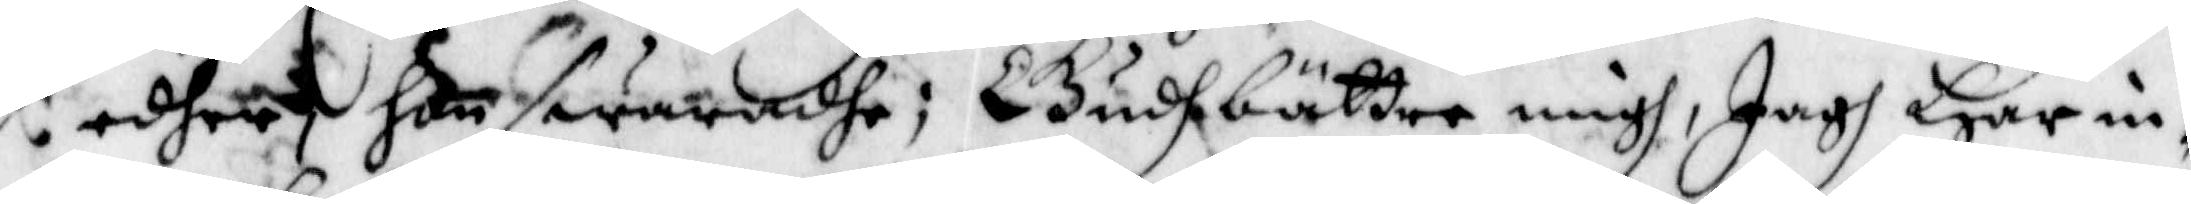edher, hon swaradhe; Gudh bättre migh, Jagh Har in¬
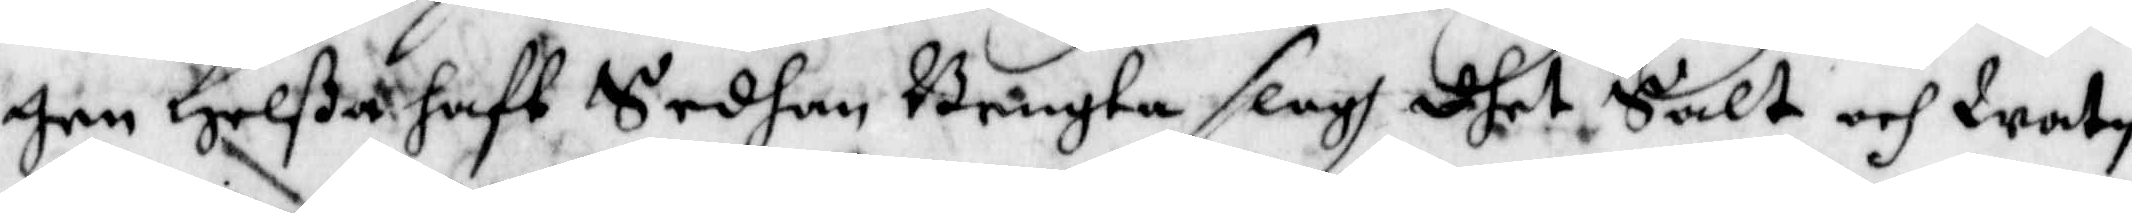gen Helßa haft Sedhan Bengta slogh dhet Salt och Watn
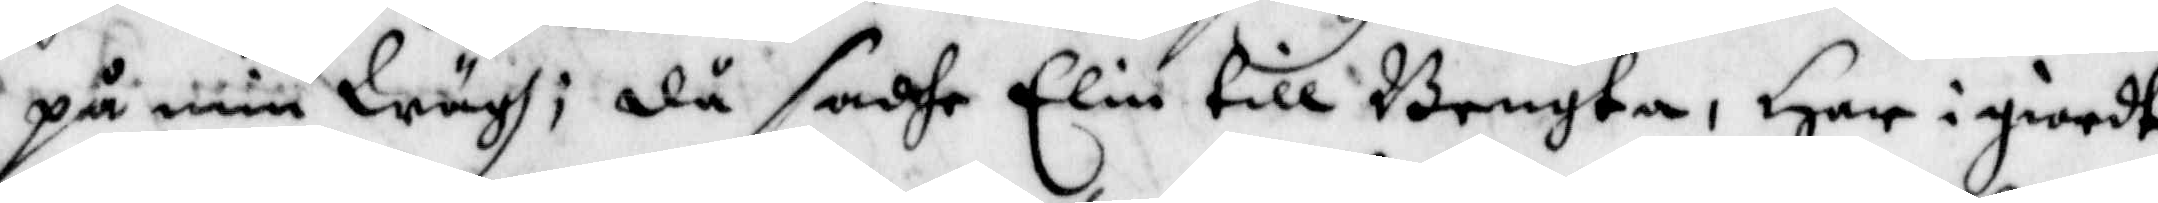på min Wägh; då sadhe Elin Bengta, Har igiordt
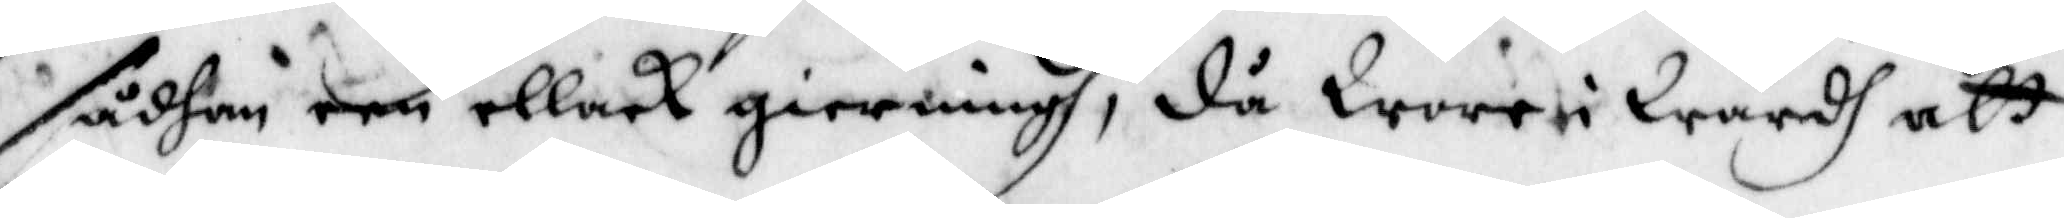sådhan een ellack gierningh, då Wore i Wärdh att
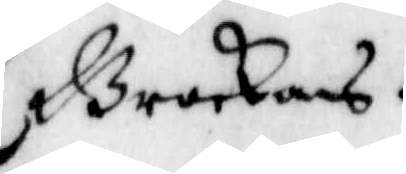Bruckas.
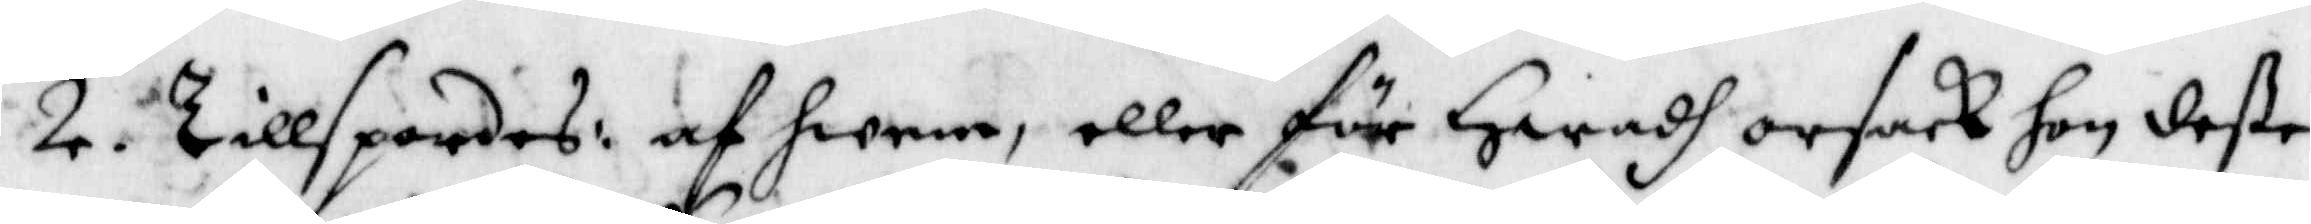2 Tilspordes: af hwem, eller för Hwadh Hwadh orsack hon deße
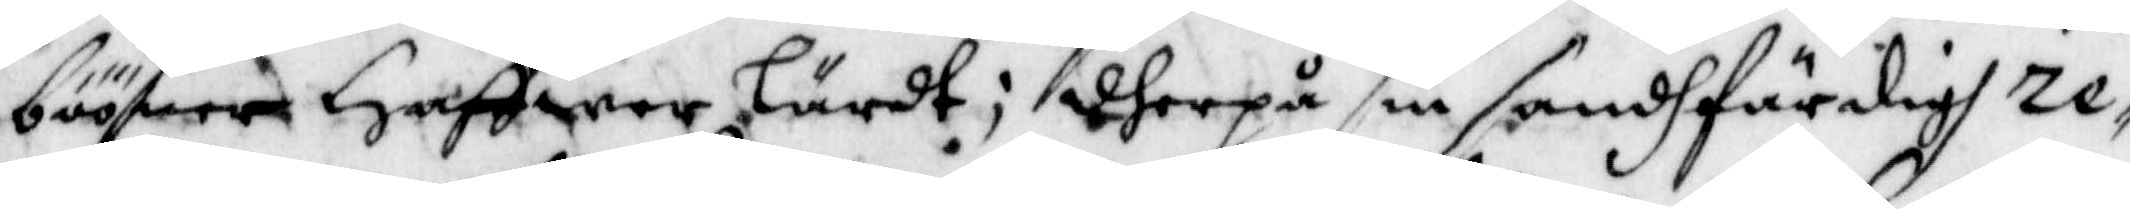bööner Haffwer Lärdt; dherpå sin sandhFärdigh re¬
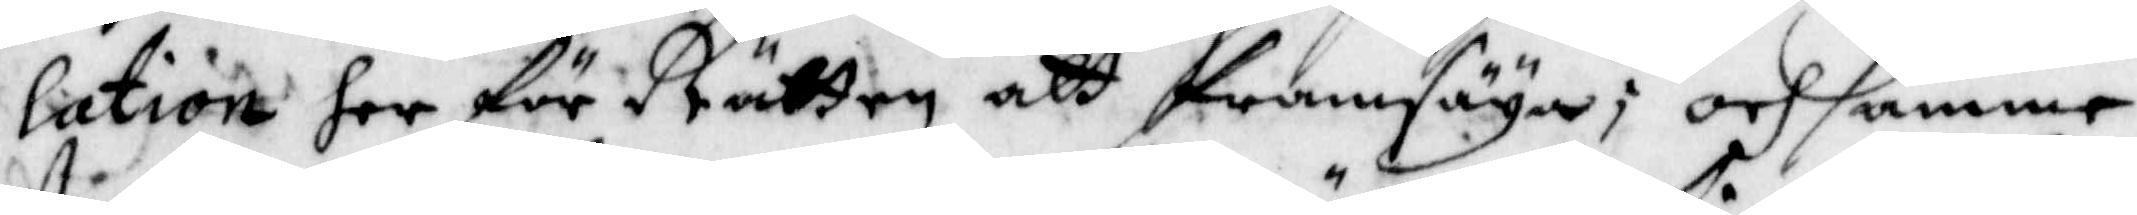lation her för Rätten att framsäya; och samme
